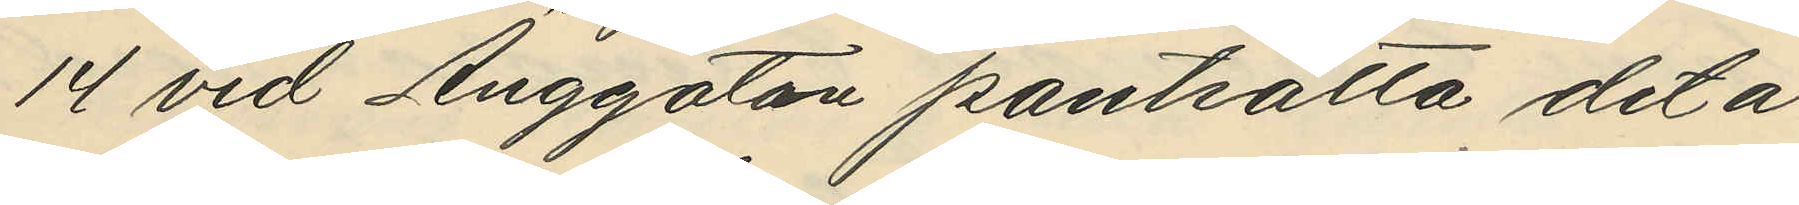14 vid Änggatan pantsätta det å
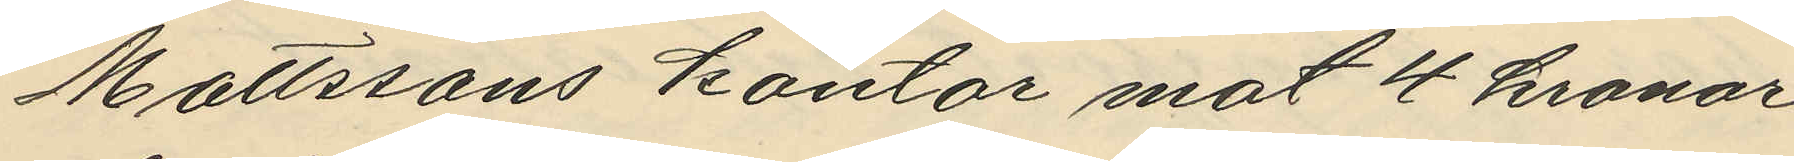Mattsons kontor mot 4 kronor
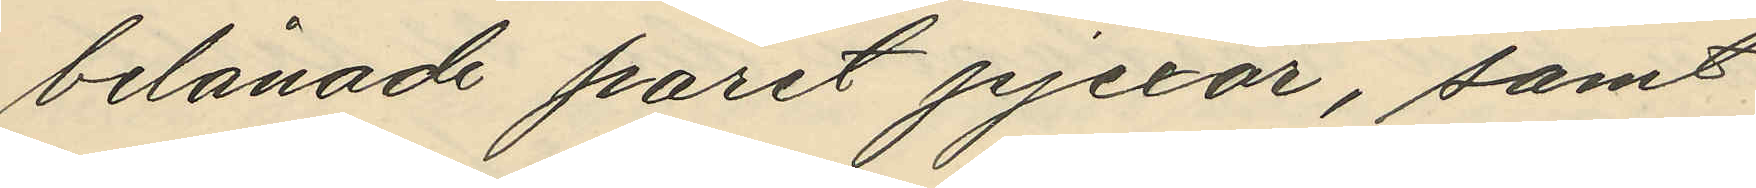belånade paret pjexar, samt
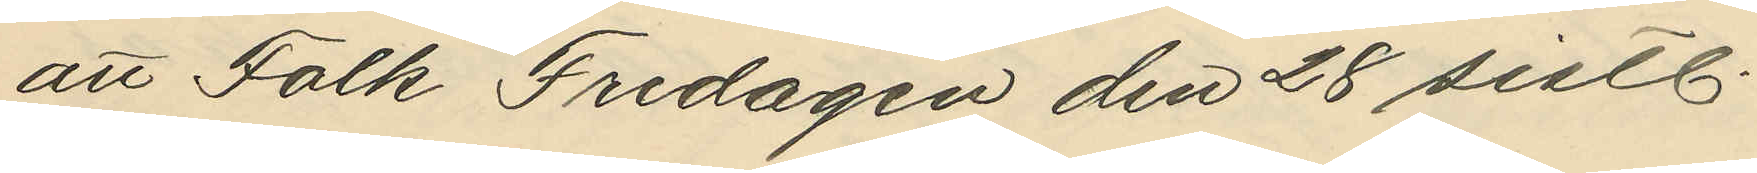att Falk Fredagen den 28 sistl.
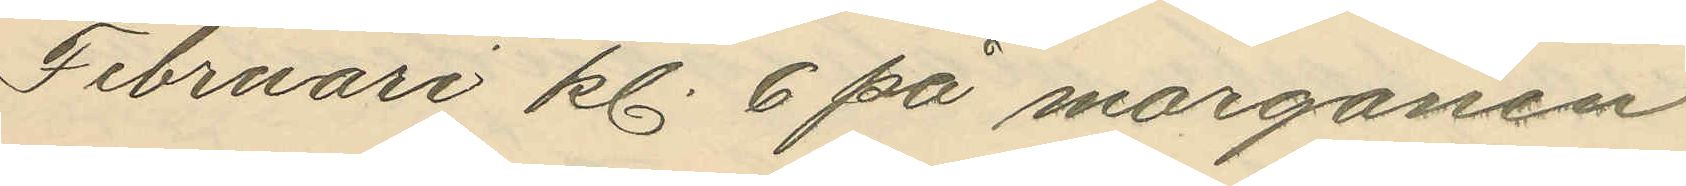Februari kl. 6 på morgonen
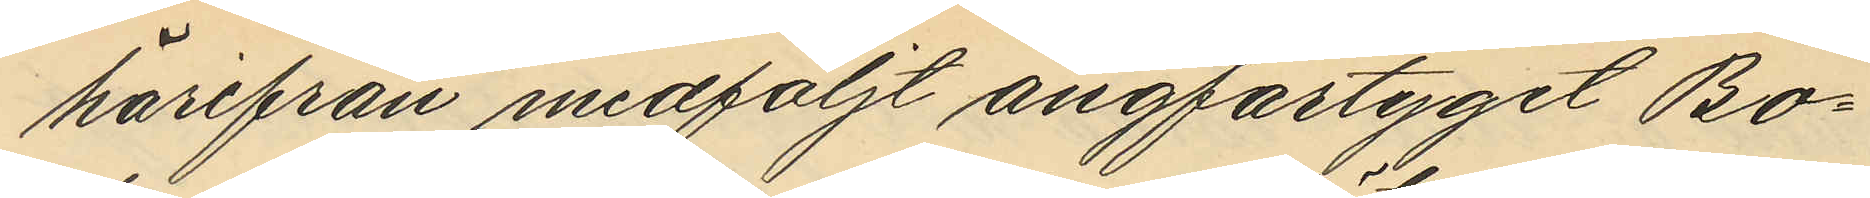härifrån medföljt ångfartyget Bo¬
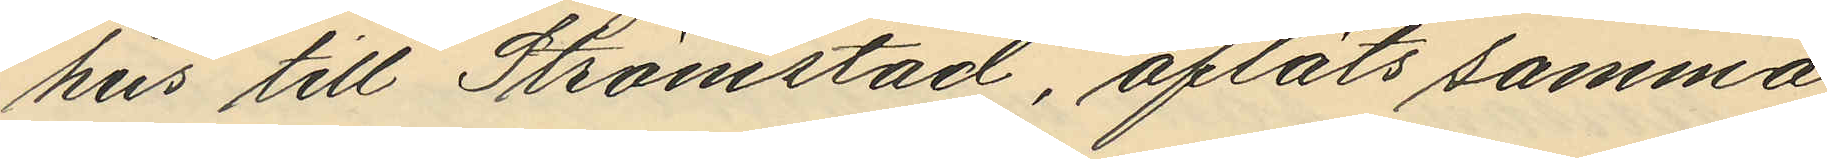hus till Strömstad, afläts samma 
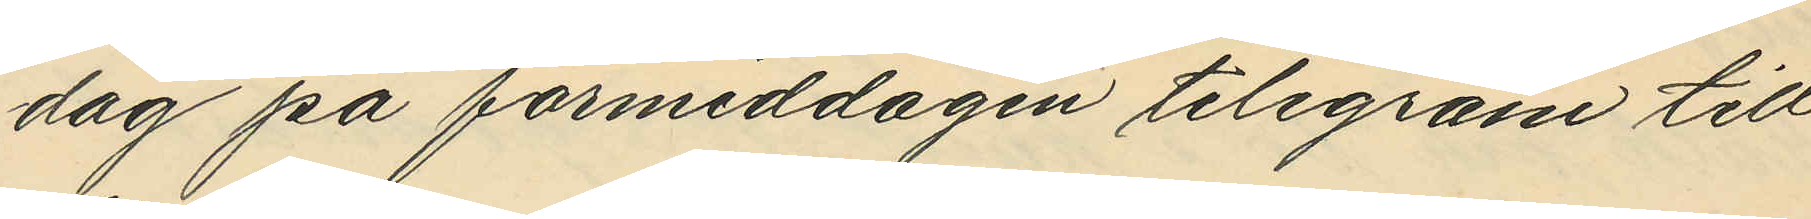dag på förmiddagen telegram till
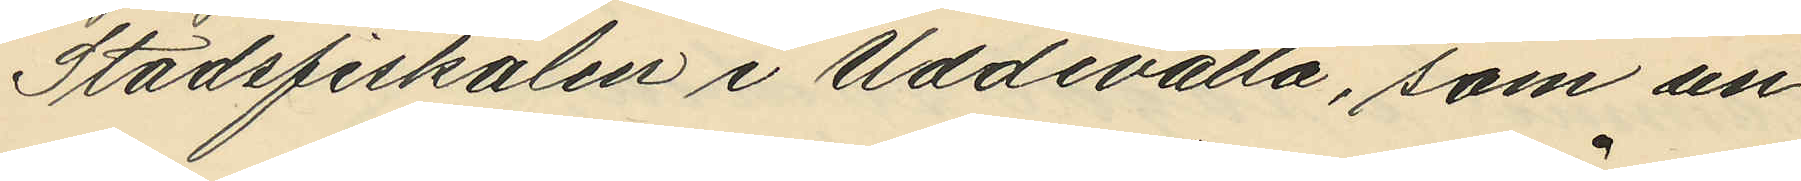Stadsfiskalen i Uddevala, som un¬
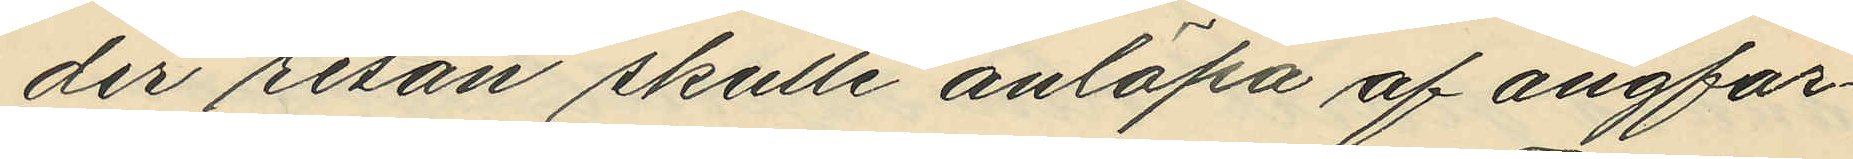der resan skulle anlöpa af ångfar¬
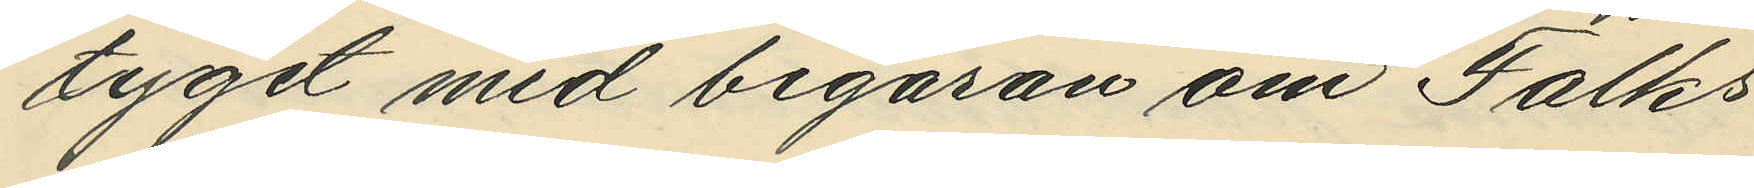tyget med begäran om Falks
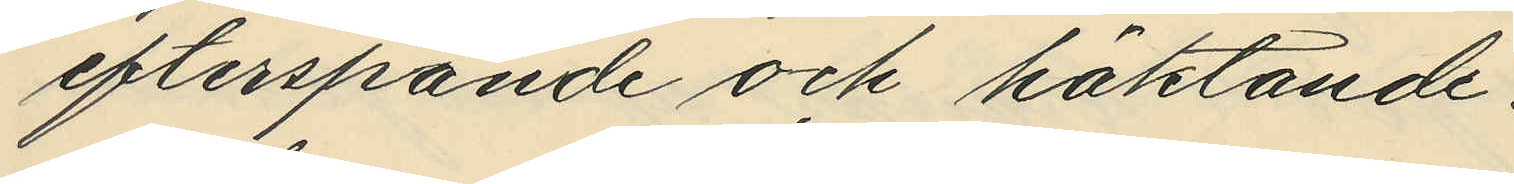efterspande och häktande.
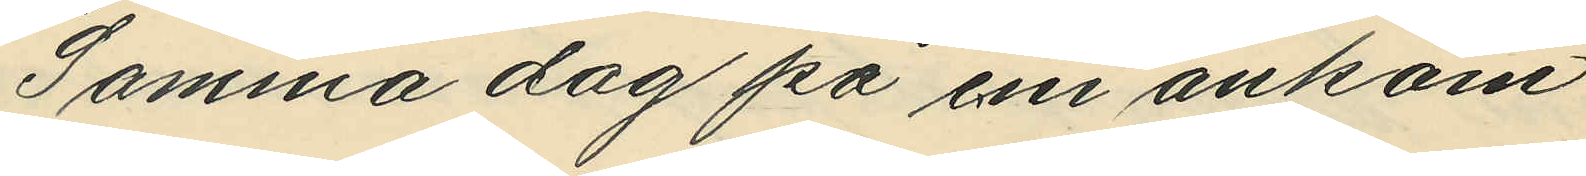Samma dag på e.m ankom
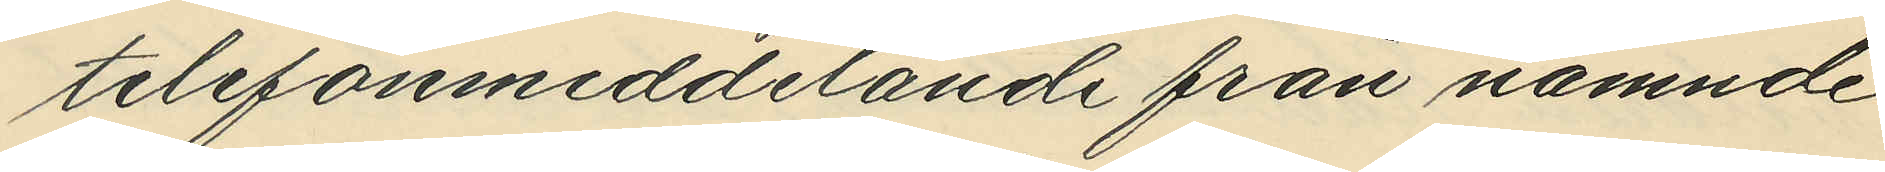telefonmeddelande från nämnde
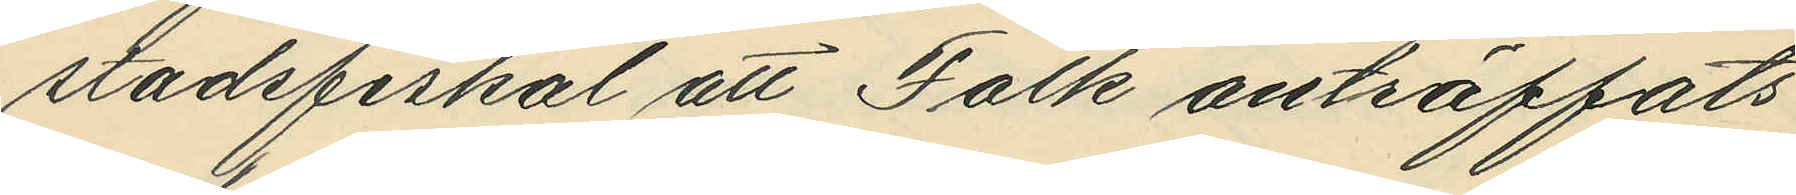stadsfiskal att Falk anträffats
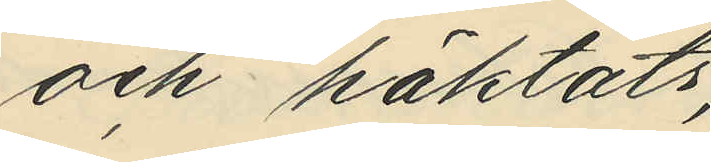och häktats;
